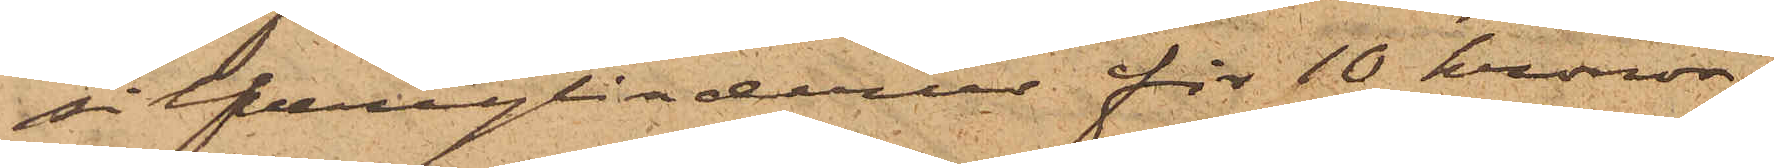silfercylinderur för 10 kronor;
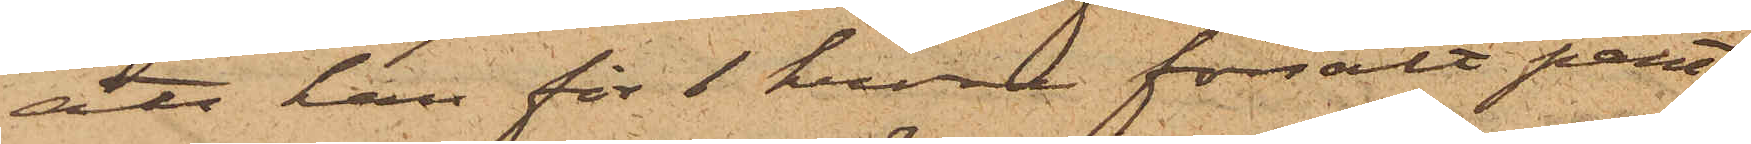att han för 1 krona försålt pant¬
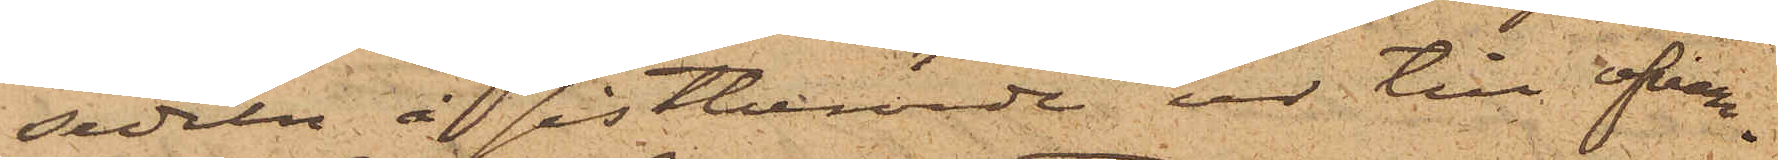sedeln å sistnämnde ur till ofvan¬
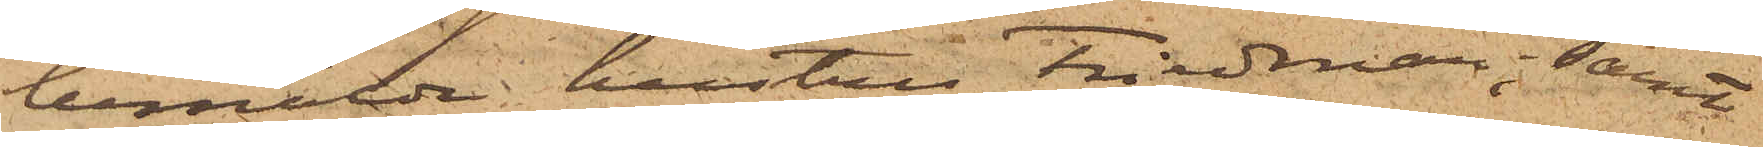bemälda hustru Friedman; samt
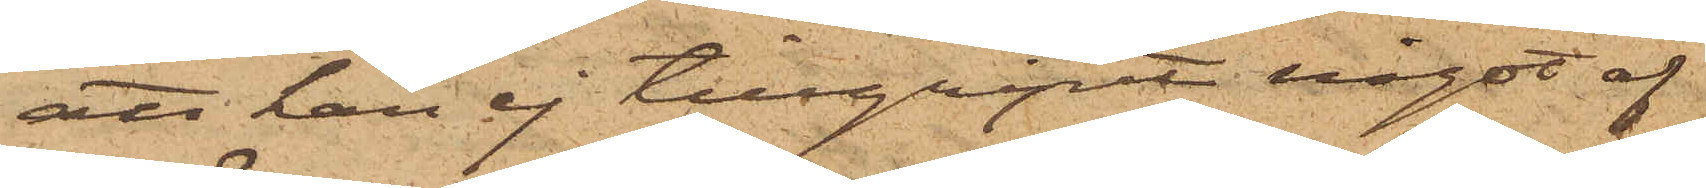att han ej tillgripit något af
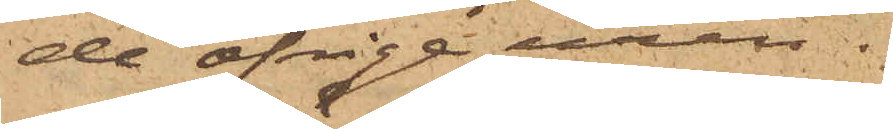de öfrige uren.
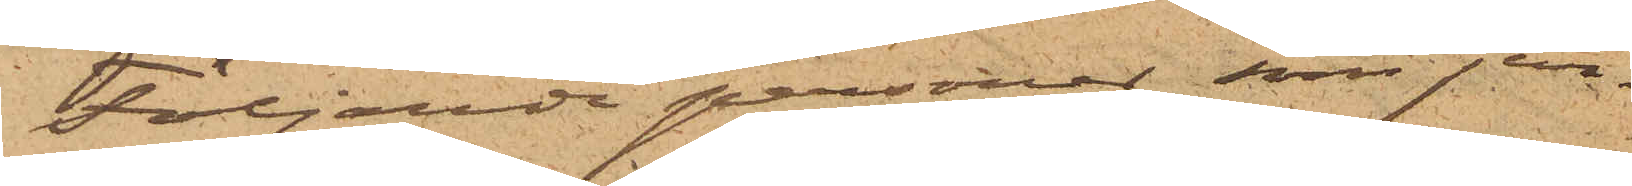Följande personer, som jem¬
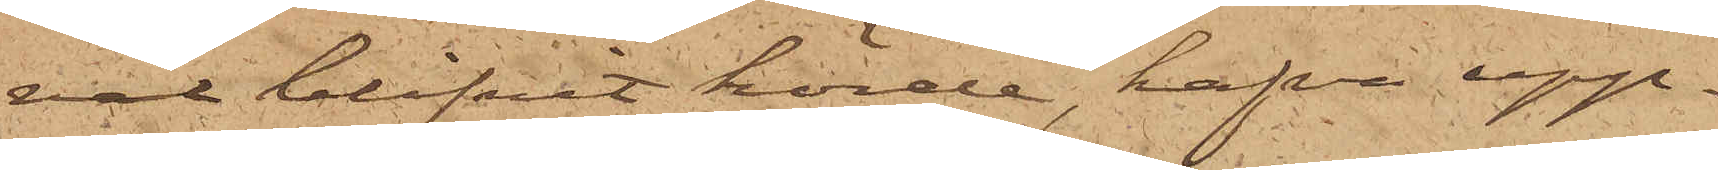väl blifvit hörde, hafva upp¬
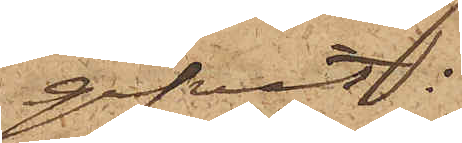gifvit:
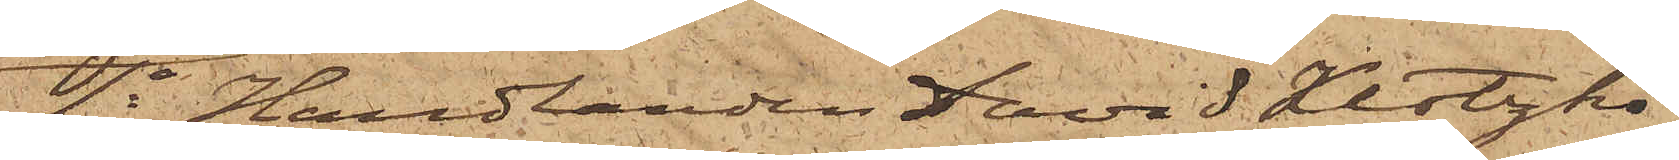4o Handlanden David Klatzko,
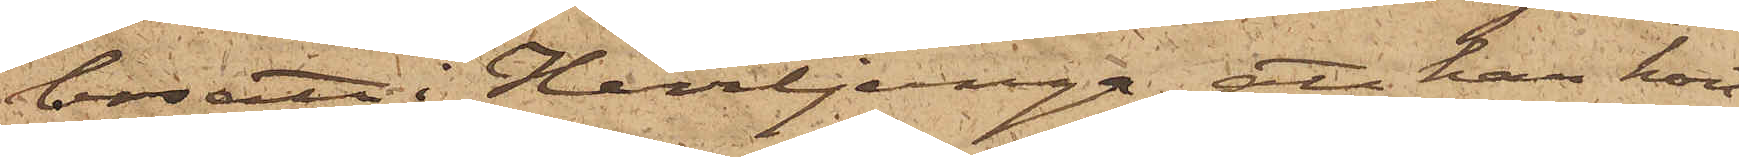bosatt i Herrljunga; att han kort
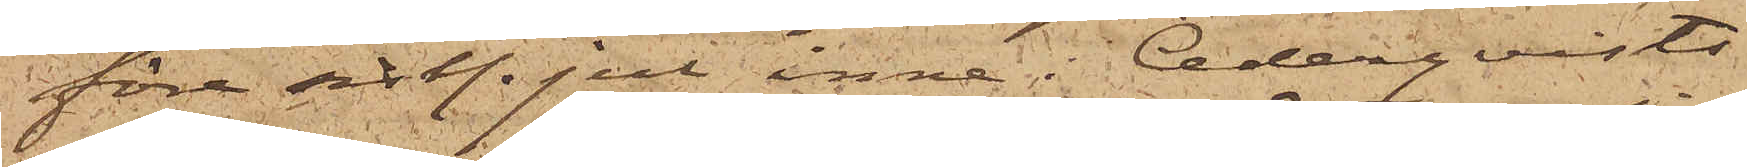före sistl. Jul inne i Cederqvists
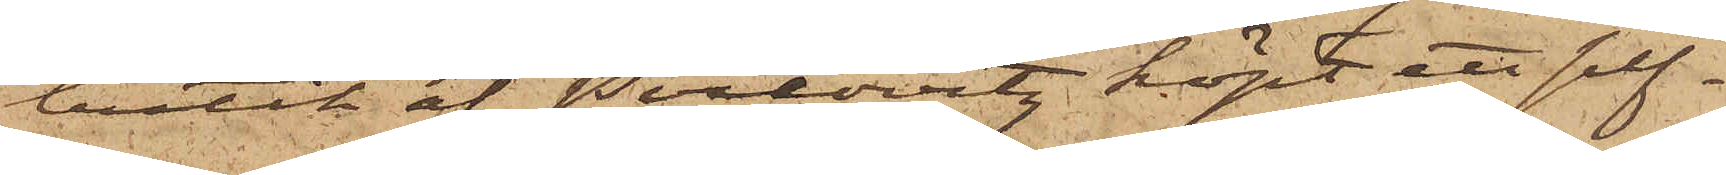butik af Perlovitz köpt ett silf¬
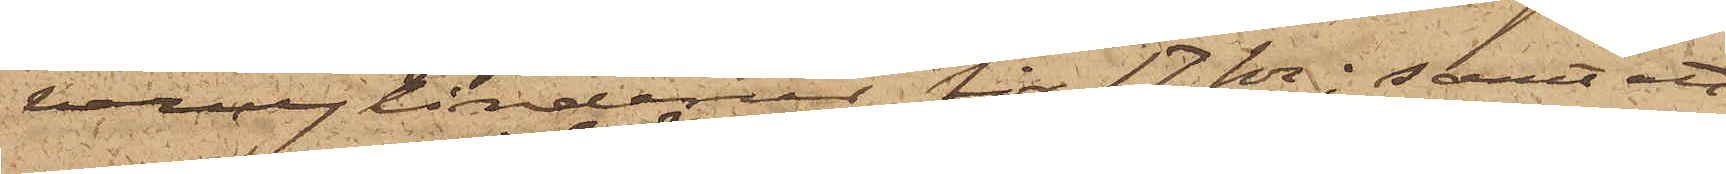vercylinderur för 17 kr; samt att
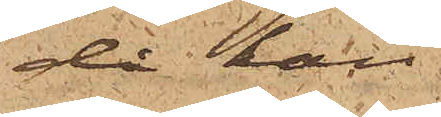då han
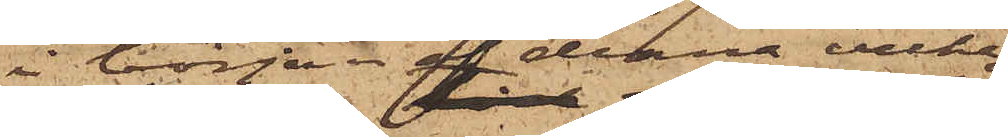i början af denna vecka
